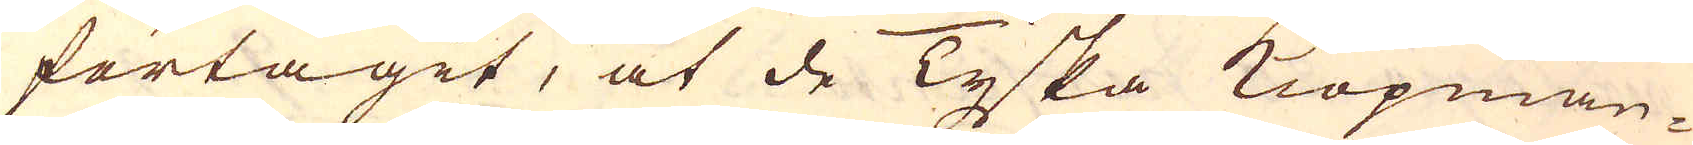förtagit, at de Tyska Kiöpmän-
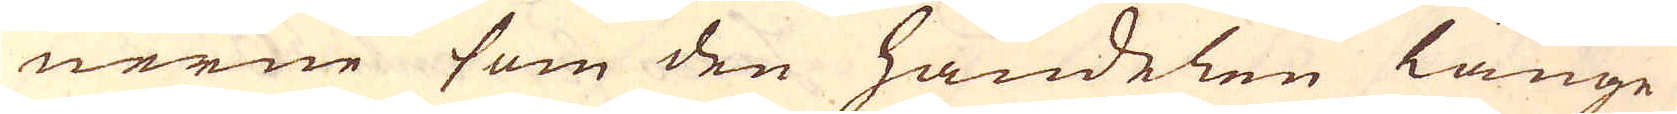nerne som den handelen länge
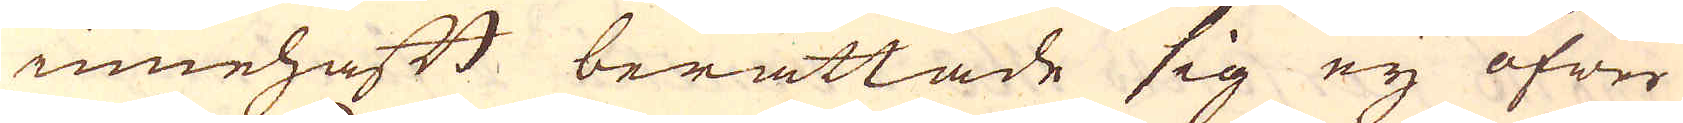innehaft berättade sig ey öfwer
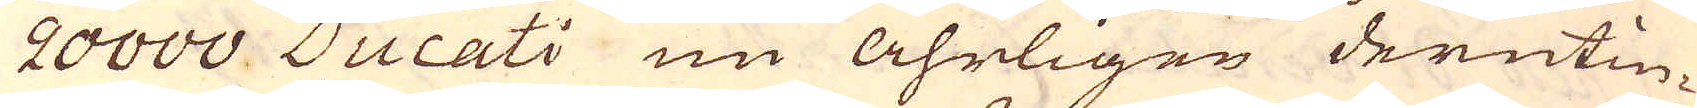20000 Ducati nu åhrligen derutin-
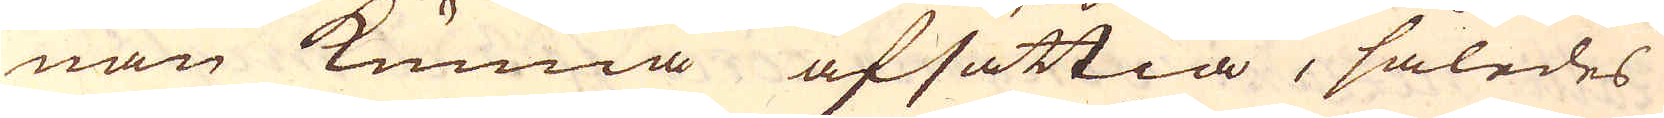nan kunna afsättia, således
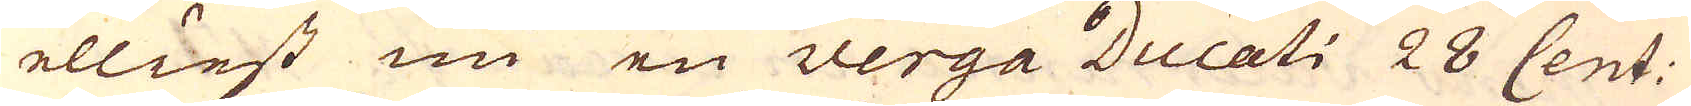elliest nu en verga Ducati 28 Cent:
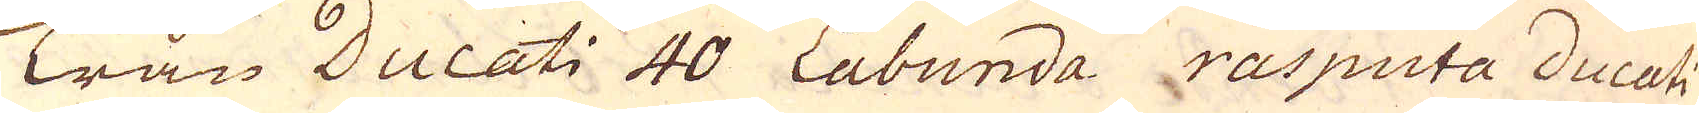Trån Ducati 40 Labunda rasputa ducati
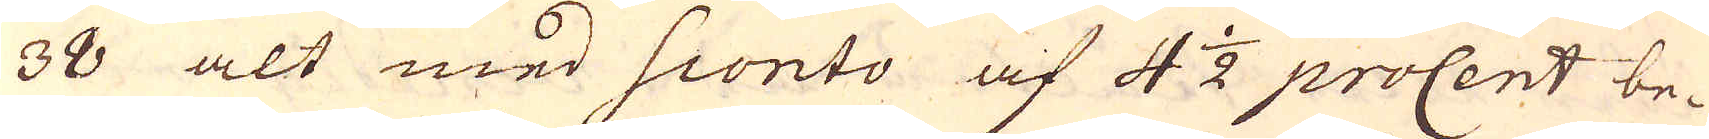38 alt med Sconto af 4 1/2 proCent be-
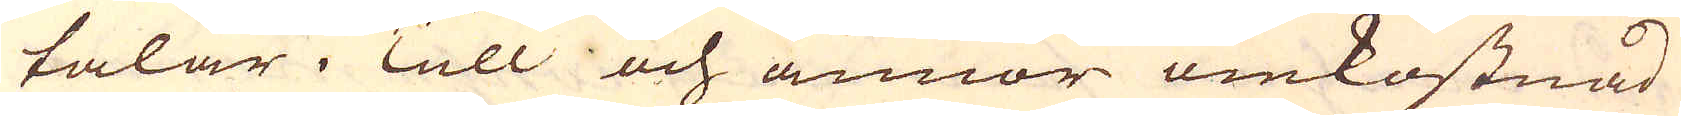talar i Tull och annor omkostnad
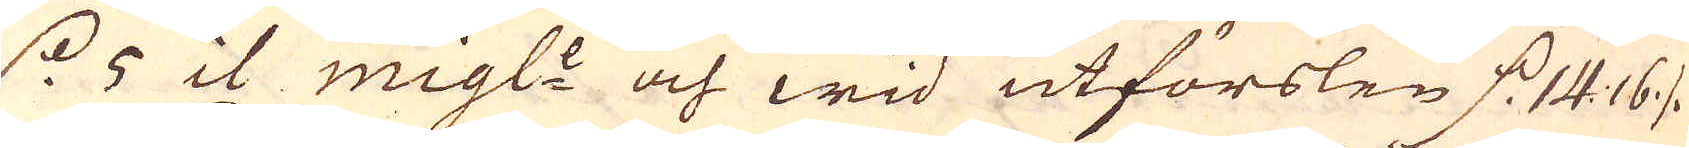d. 5 il migl:e och wid utförslen d. 14:16 ./.
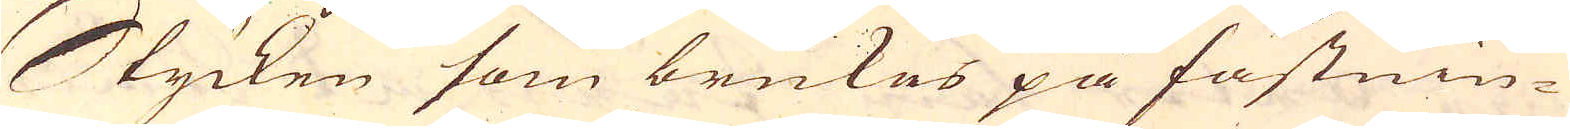Stycken som brukes på fästnin-
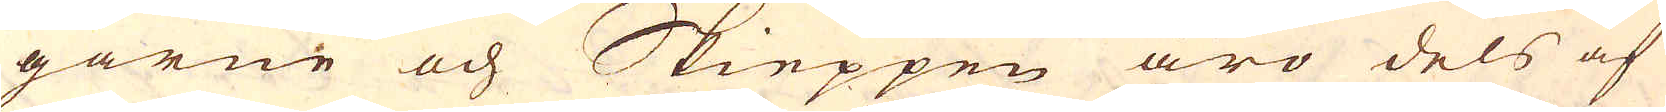garne och Skieppen äro dels af
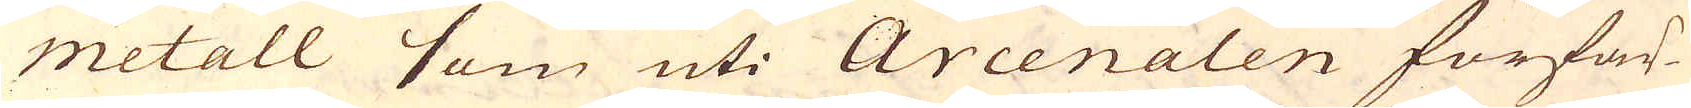metall som uti Arcenalen förfär-
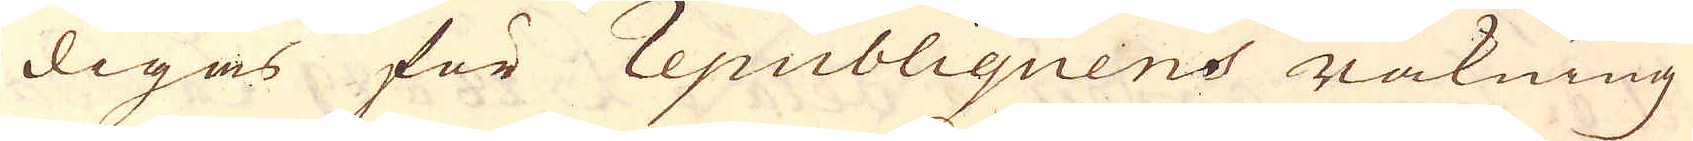digas för republiquens räkning
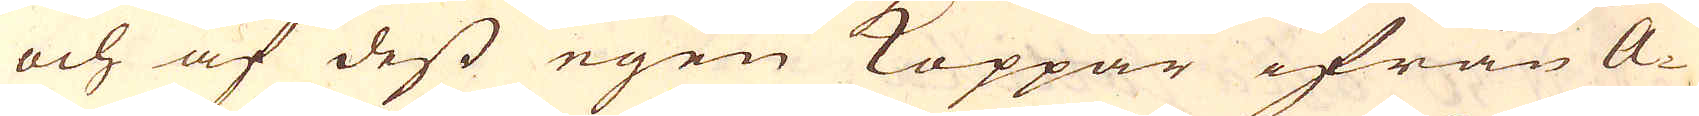och af dess egen Koppar ifrån A-
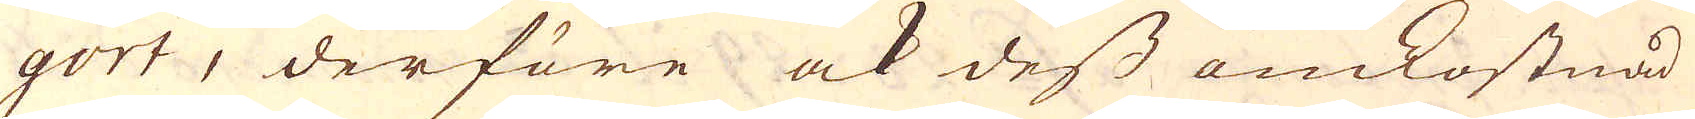gort, derföre ock dess omkostnad
